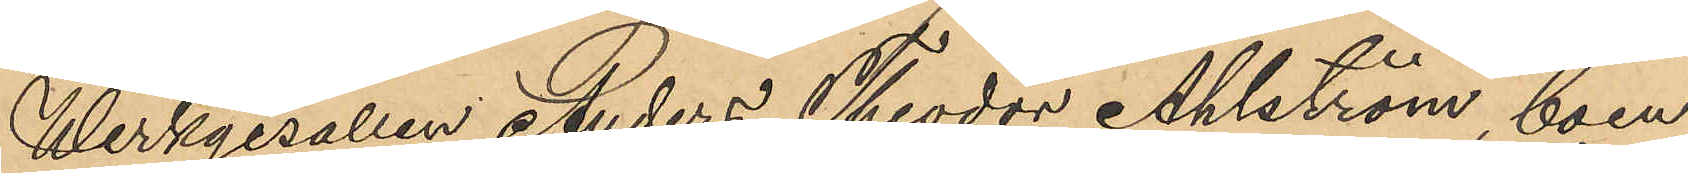Werkgesällen Anders Theodor Ahlström, boen¬
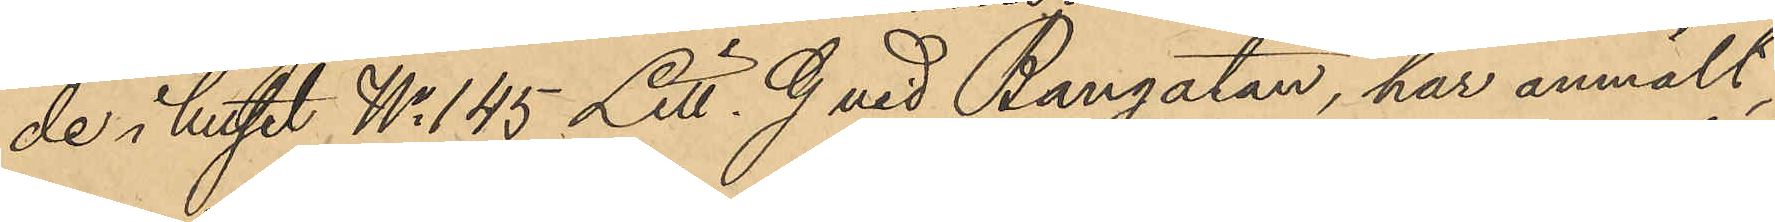de i huset No 145 Litt. G vid Bangatan, har anmält,
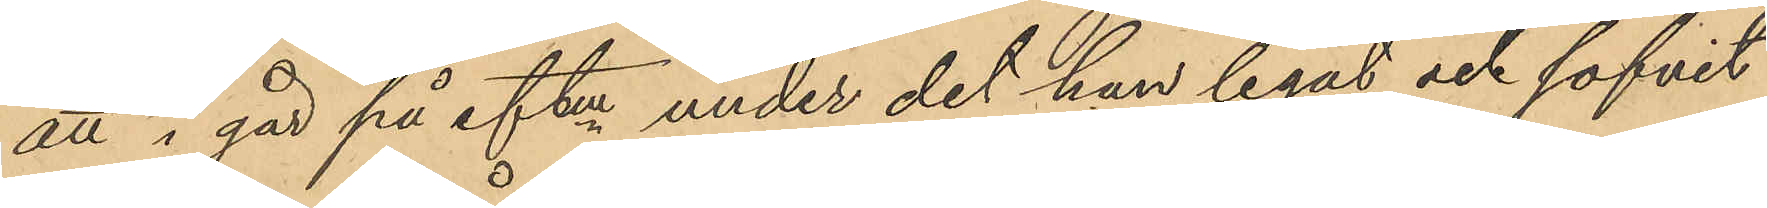att i går på eftm. under det han legat och sofvit
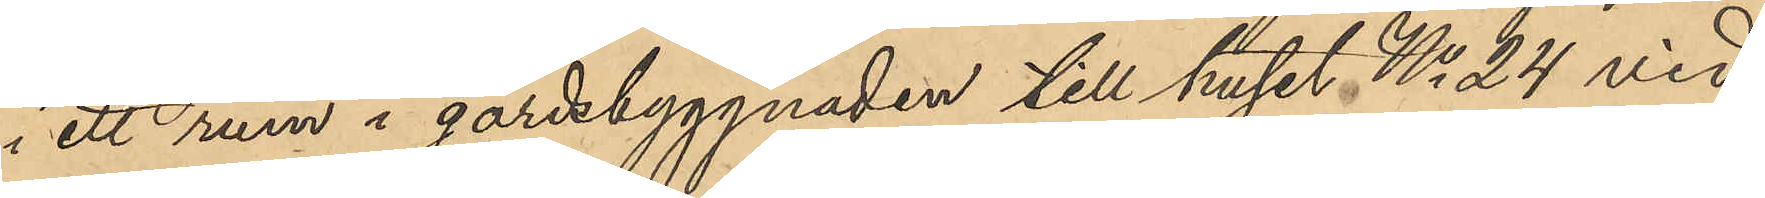i ett rum i gårdsbyggnaden till huset No 24 vid
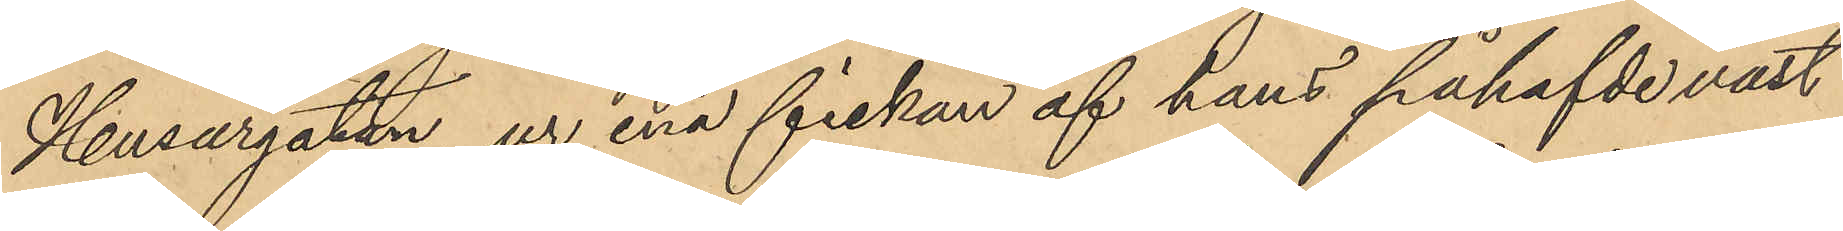Husargatan, ur ena fickan af hans påhafvde väst
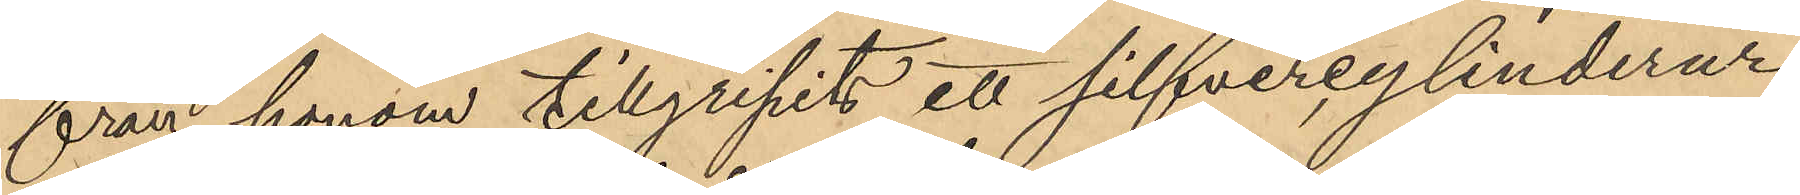från honom tillgripits ett silfvercylinderur
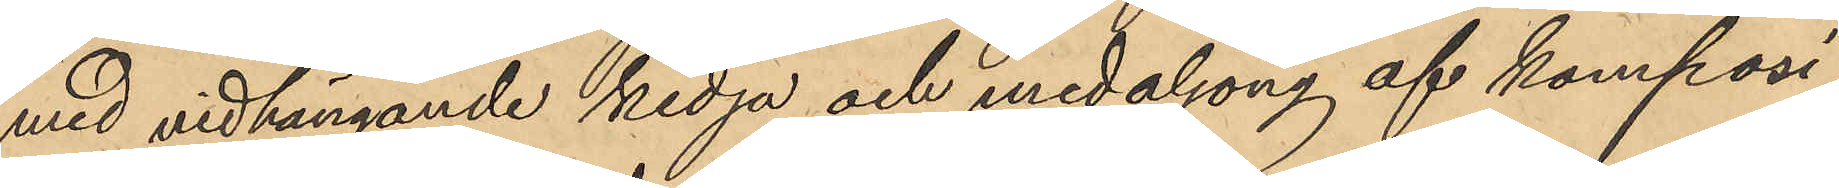med vidhängande kedja och medaljong af komposi¬
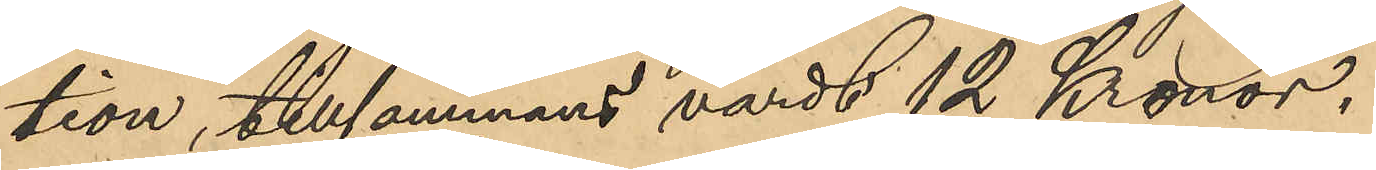tion, tillsammans värdt 12 Kronor.
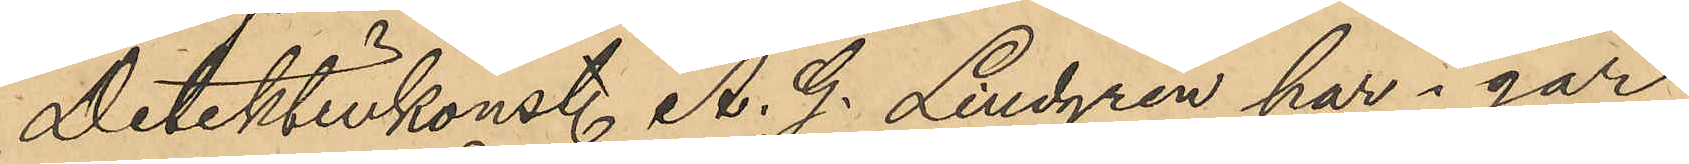Detektivkonst. A. G. Lindgren har i går
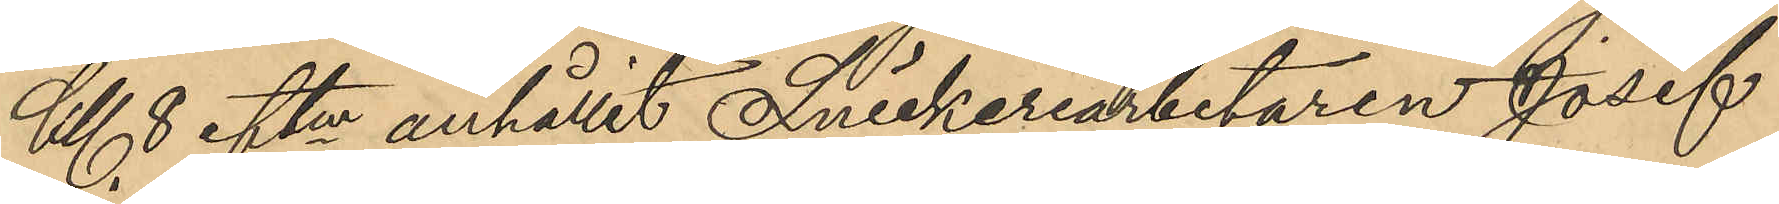Kl. 8 eftm. anhållit Snickeriarbetaren Josef
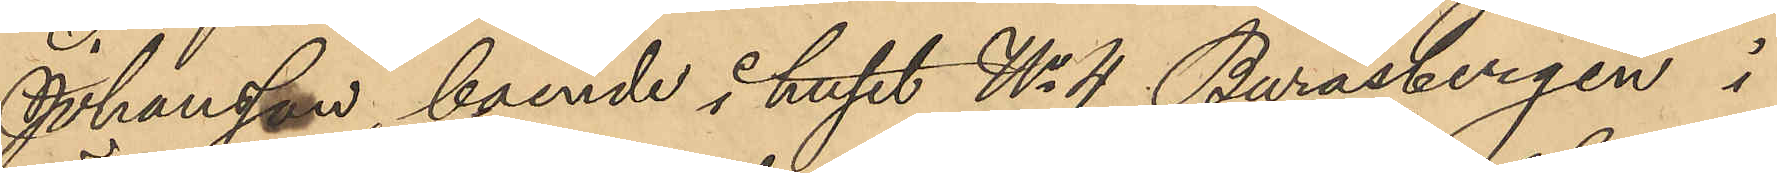Johansson, boende i huset No 4 Buråsbergen i
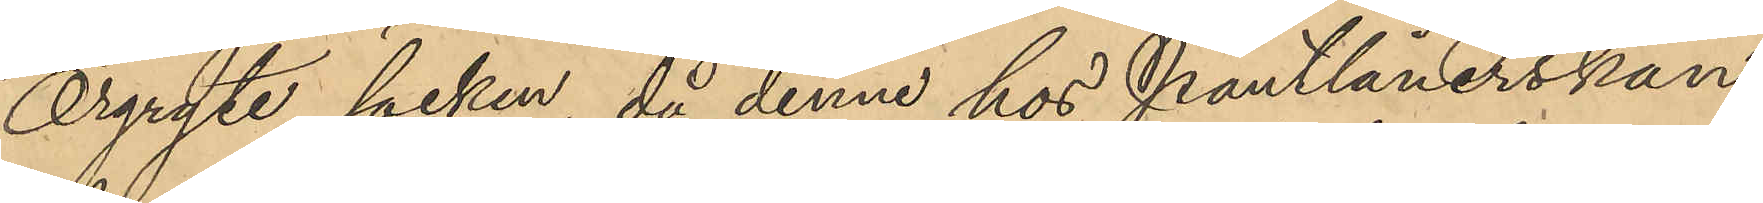Örgryte socken, då denne hos Pantlånerskan
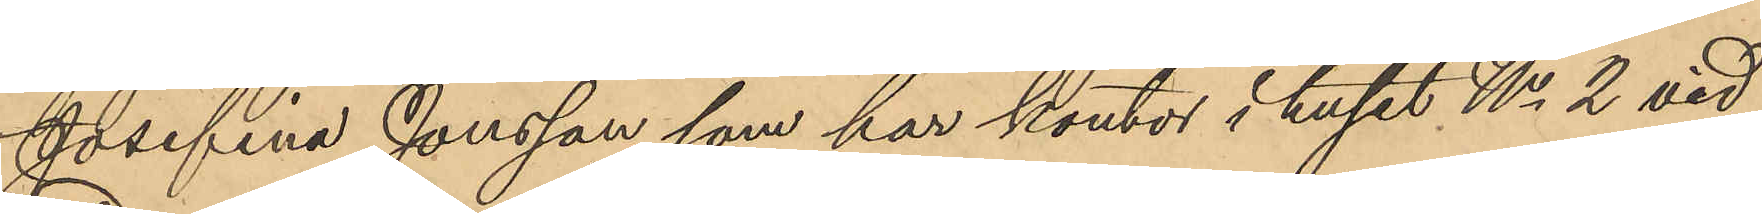Josefina Jonsson, som har kontor i huset No 2 vid
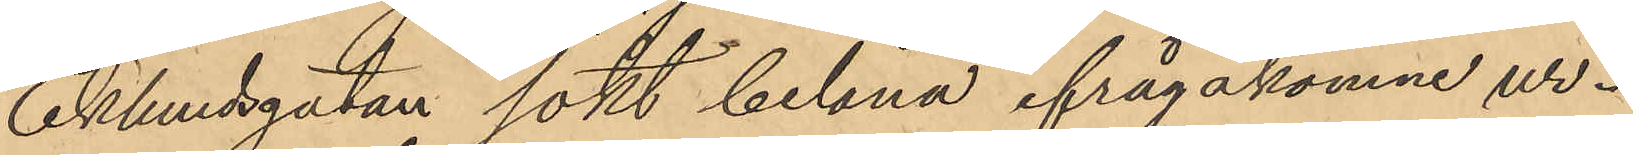Eklundsgatan sökt belåna ifrågakomne ur.
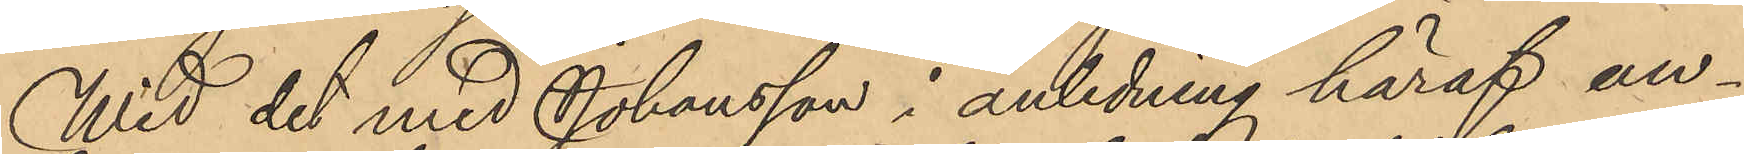Wid det med Johansson i anledning häraf an¬
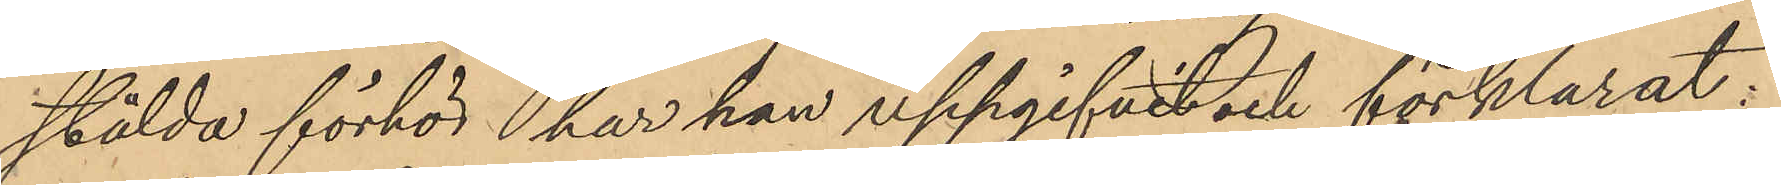stälda förhör har han uppgifvit och förklarat:
